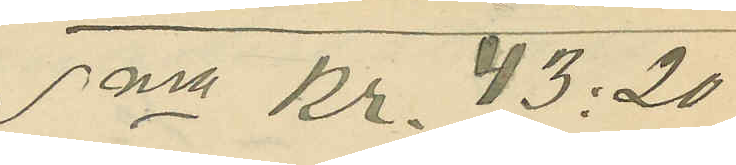Sma Kr. 43:20
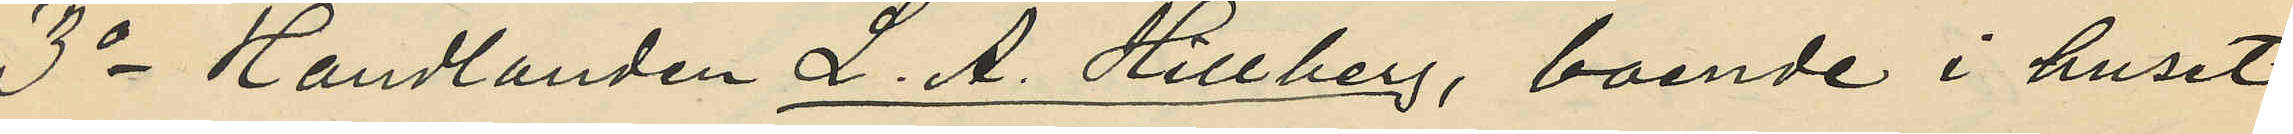3o Handlanden L. A. Hillberg, boende i huset
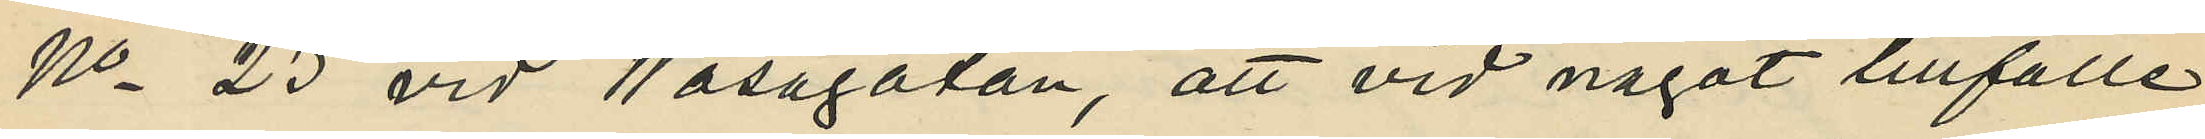No 23 vid Wasagatan, att vid något tillfälle
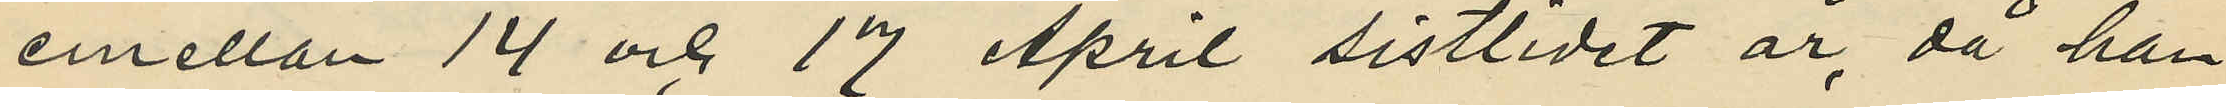emellan 14 och 17 April sistlidet år, då han
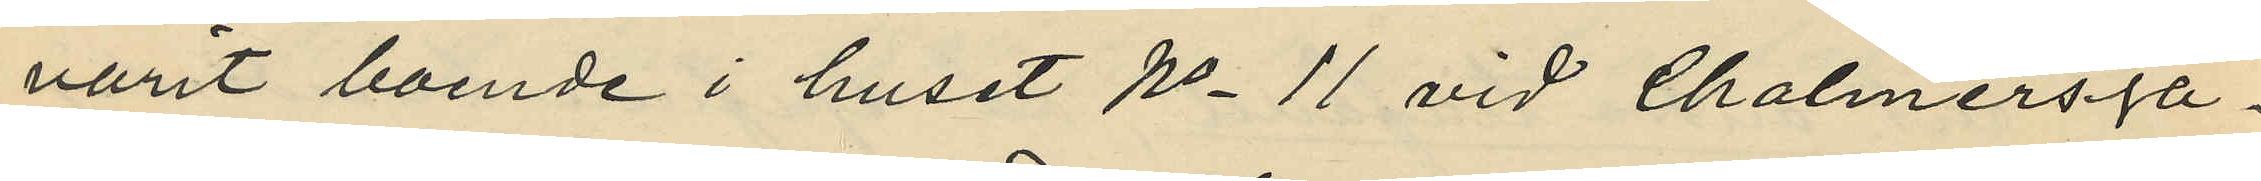varit boende i huset No 11 vid Chalmersga¬
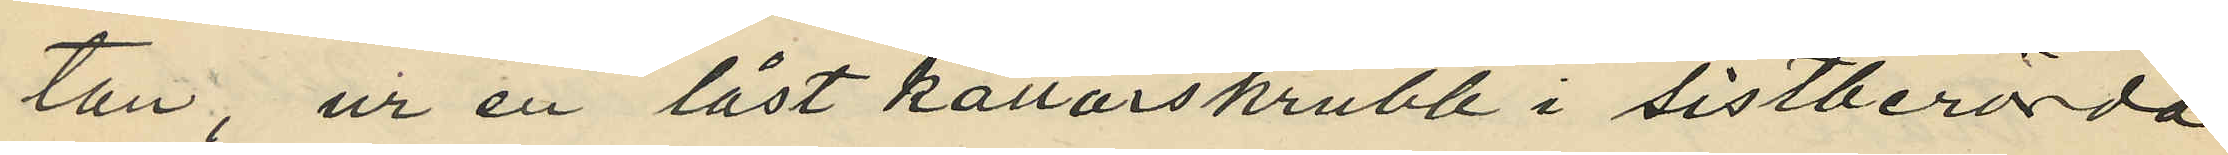tan, ur en låst källarskrubb i sistberörda
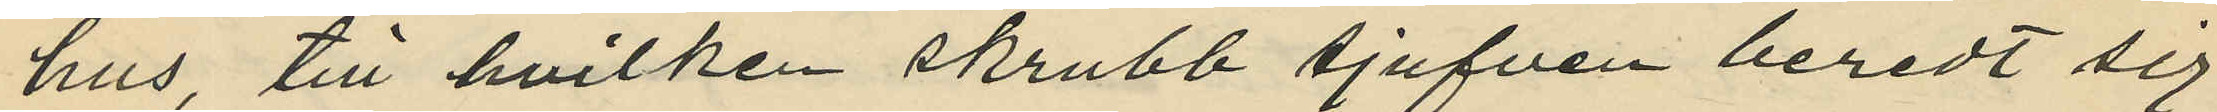hus till hvilken skrubb tjufven beredt sig
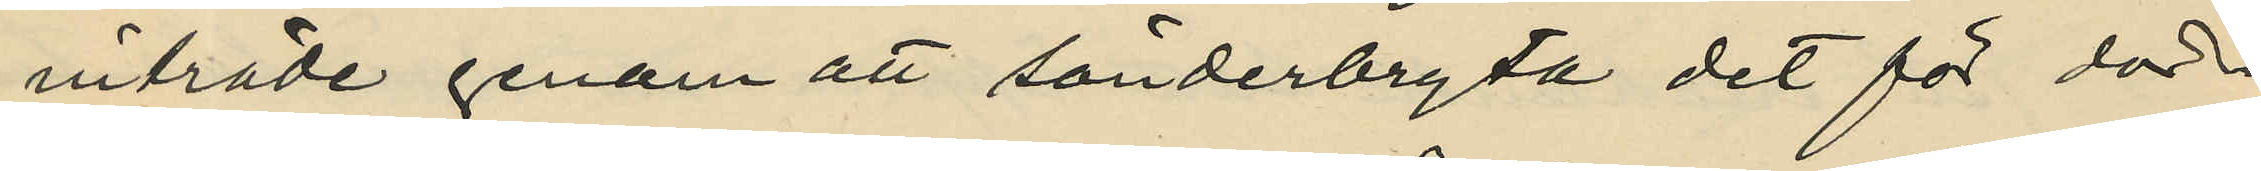initräde genom att sönderbryta det för dör¬
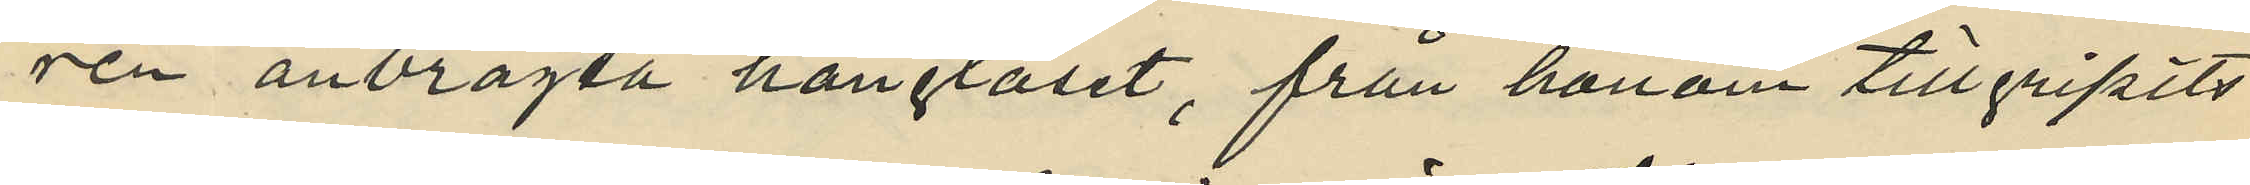ren anbragsa hänglåset, från honom tillgripits
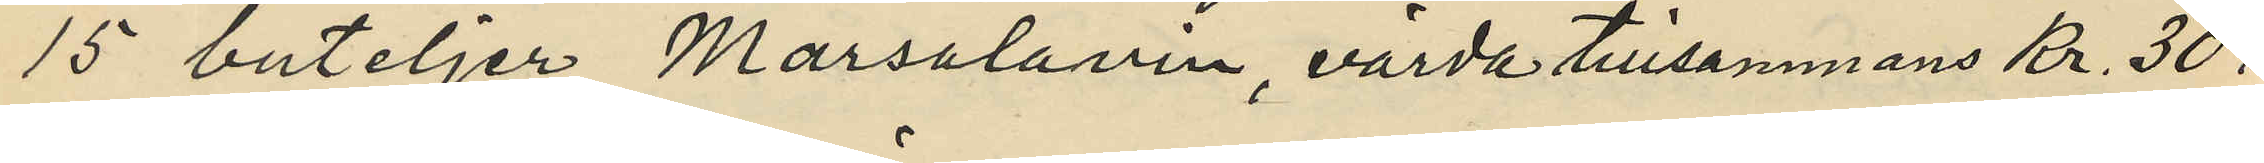15 buteljer Marsalavin, värda tillsammans Kr. 30:
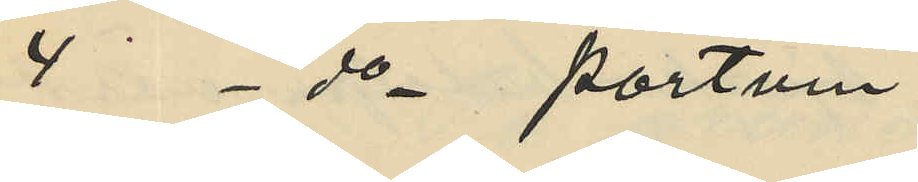4 - do - portvin
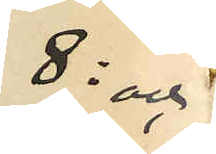8: och
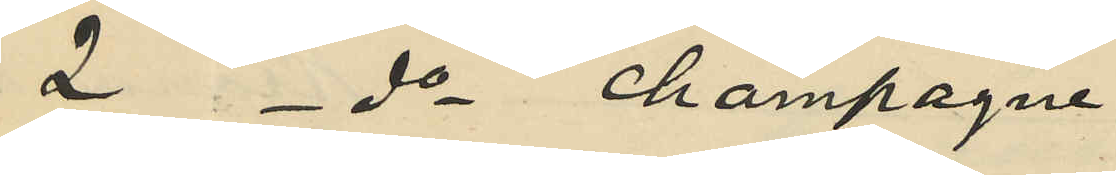2 - do - champagne
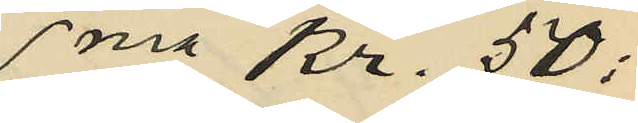sma Kr. 50:
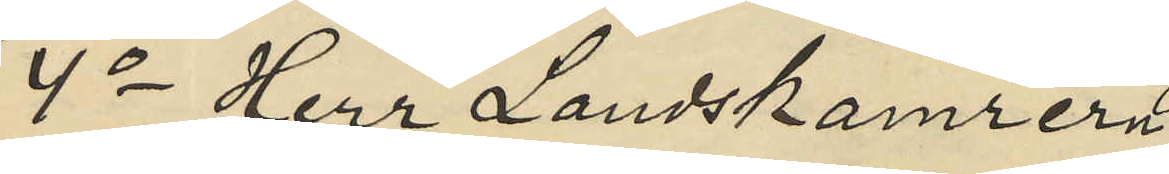4o Herr Landskamrern
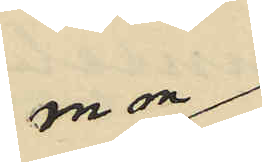m m
